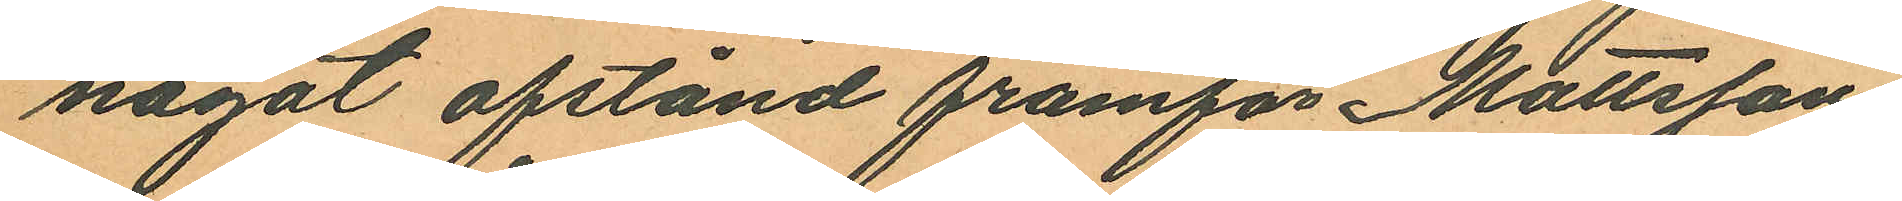något afstånd framför Mattsson
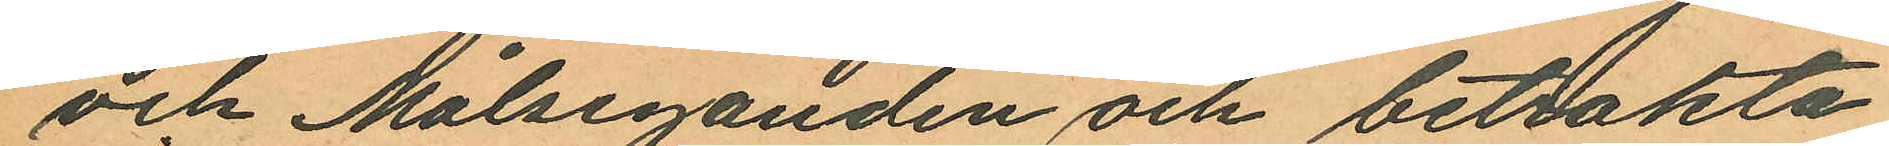och Målseganden och betrakta
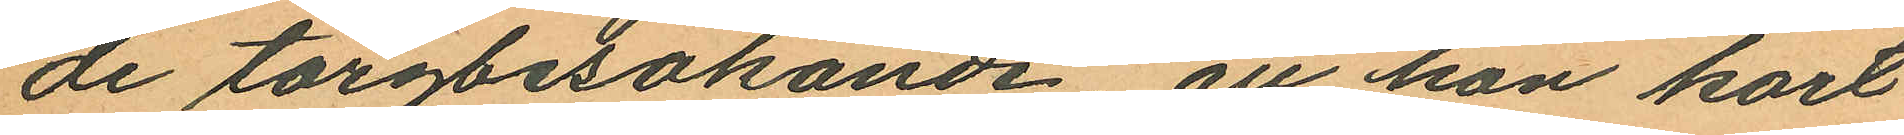de torgbesökande, att hon kort
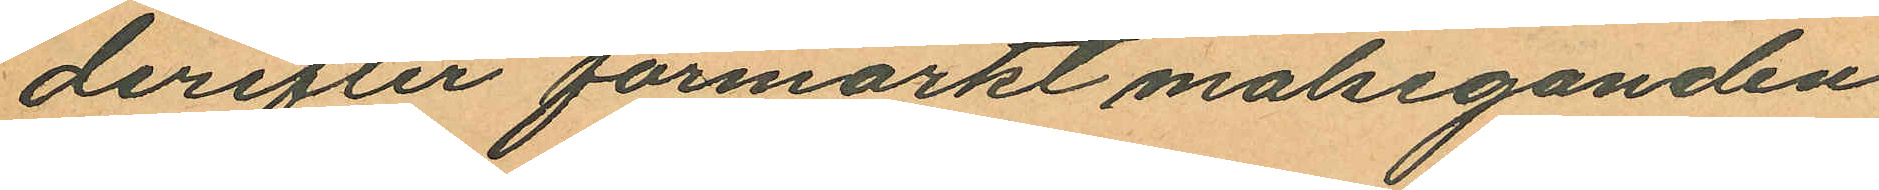derefter förmärkt målseganden
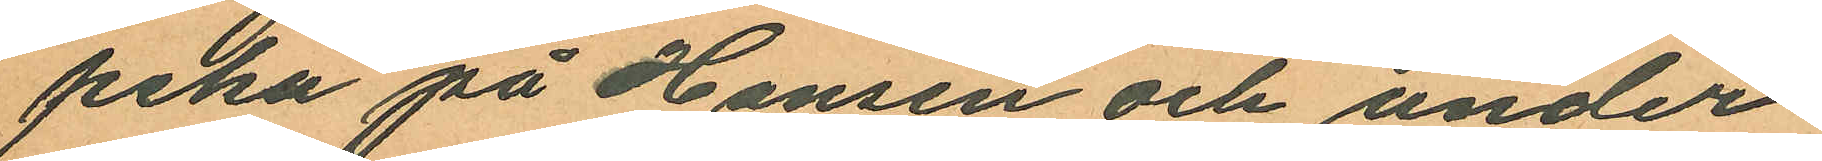peka på Hansen och under
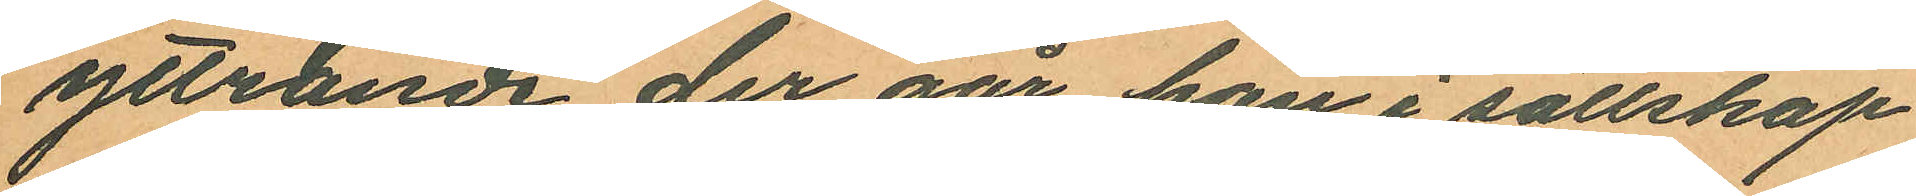yttrande der går han i sällskap
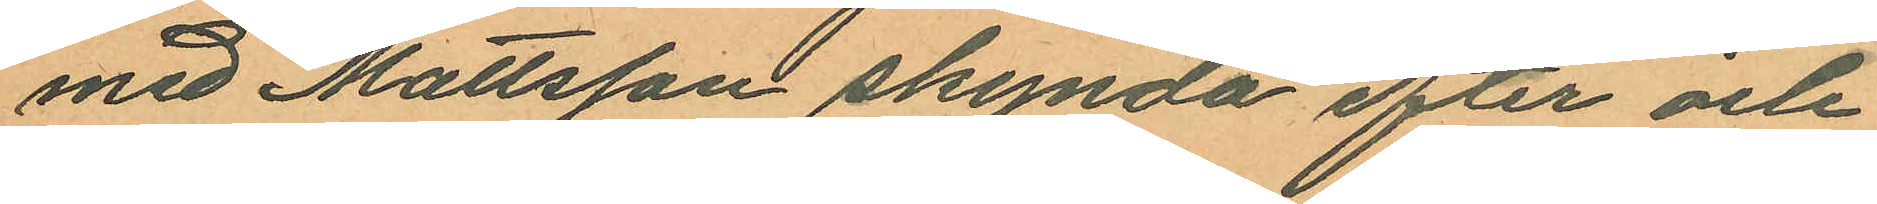med Mattsson skynda efter och
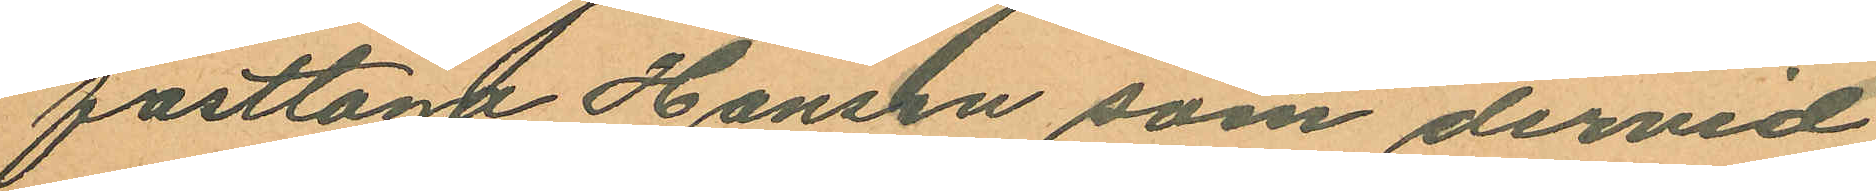fasttaga Hansen som dervid
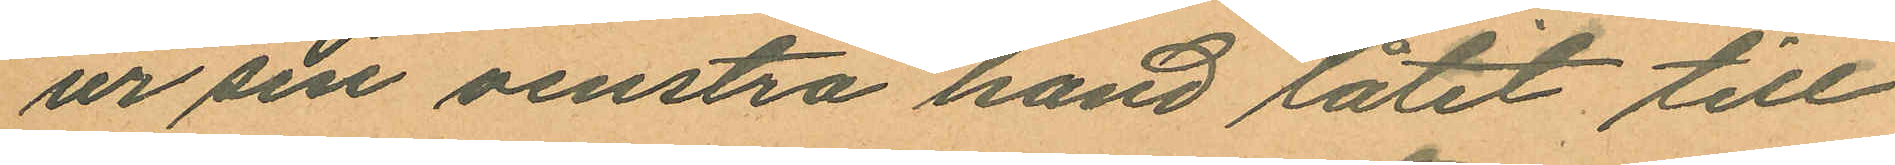ur sin venstra hand låtit till
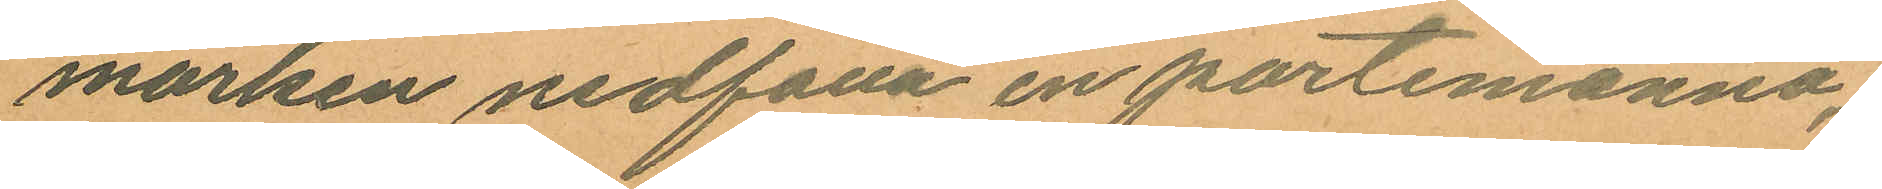marken nedfalla en portemonnä;
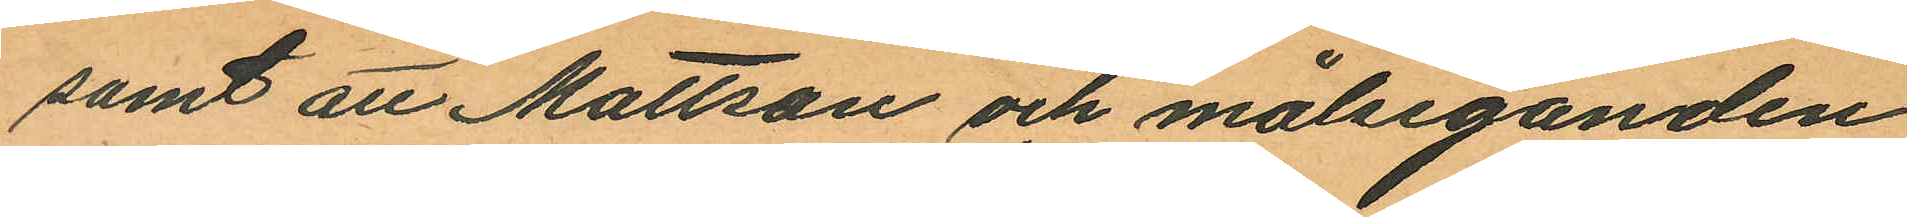samt att Mattson och målseganden
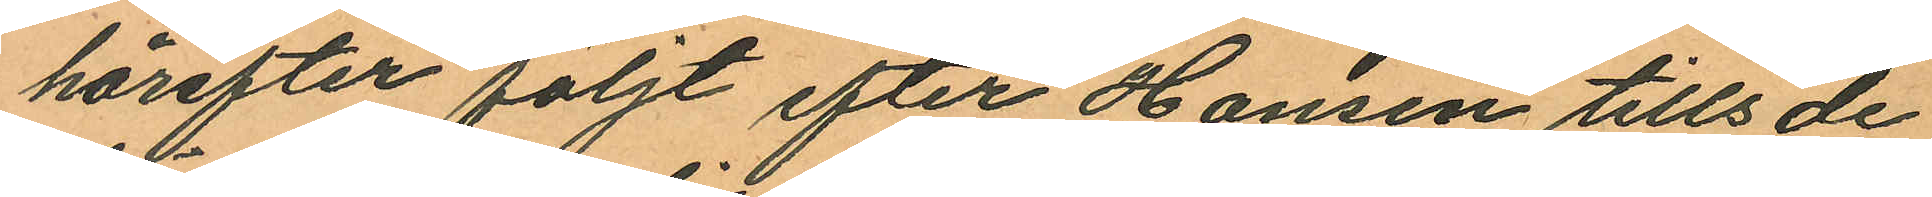härefter följt efter Hansen tills de
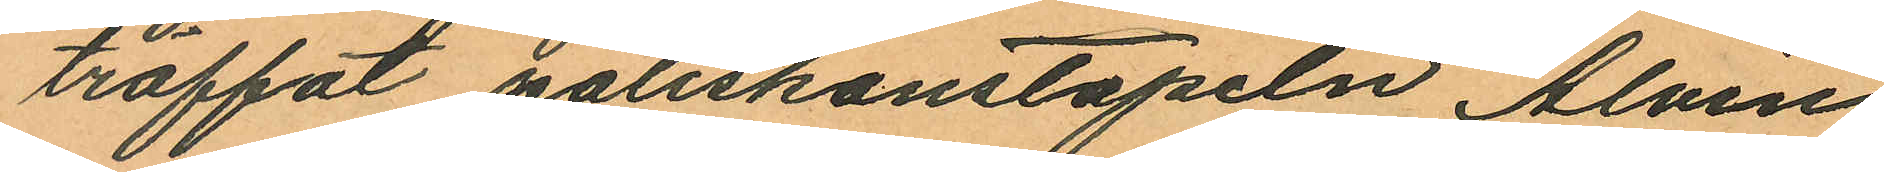träffat poliskonstapeln Alvin
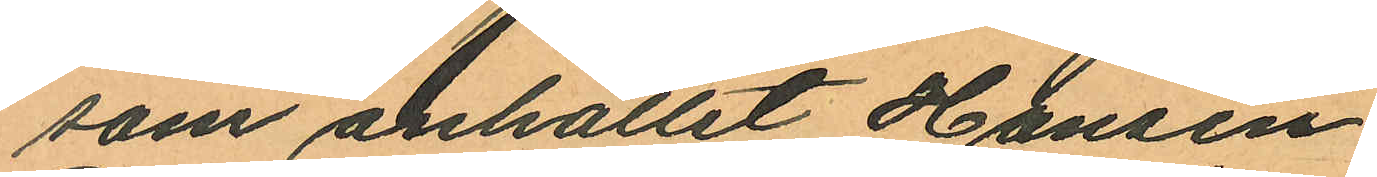som anhållit Hansen.
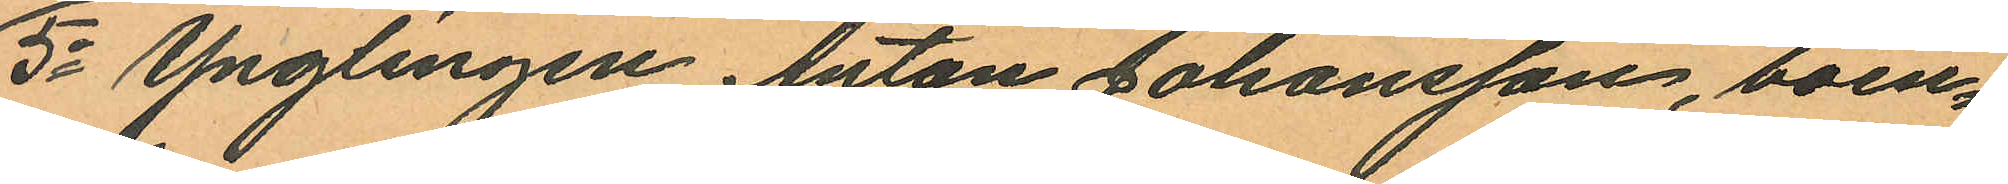5o Ynglingen Anton Johansson, boen¬
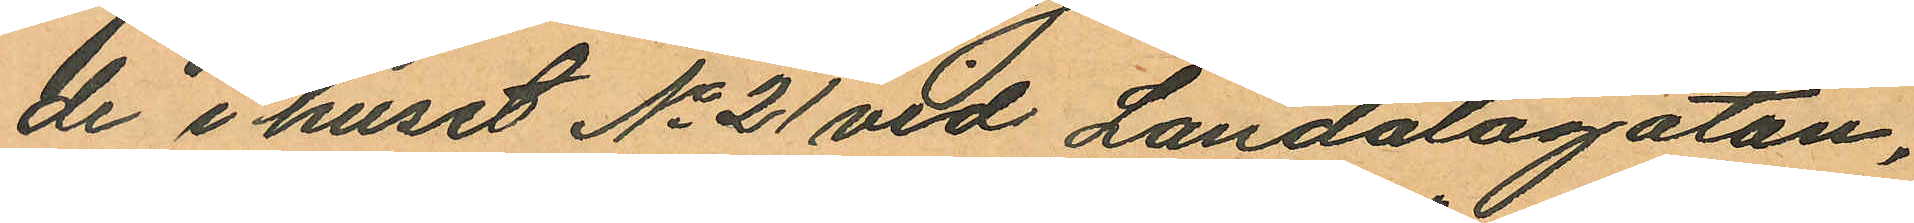de i huset No 21 vid Landalagatan,
